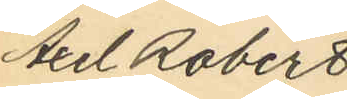Axel Robert
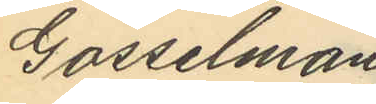Gosselman
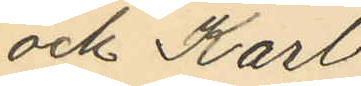och Karl
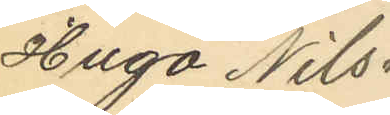Hugo Nils¬
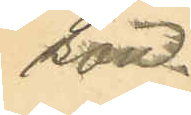son.
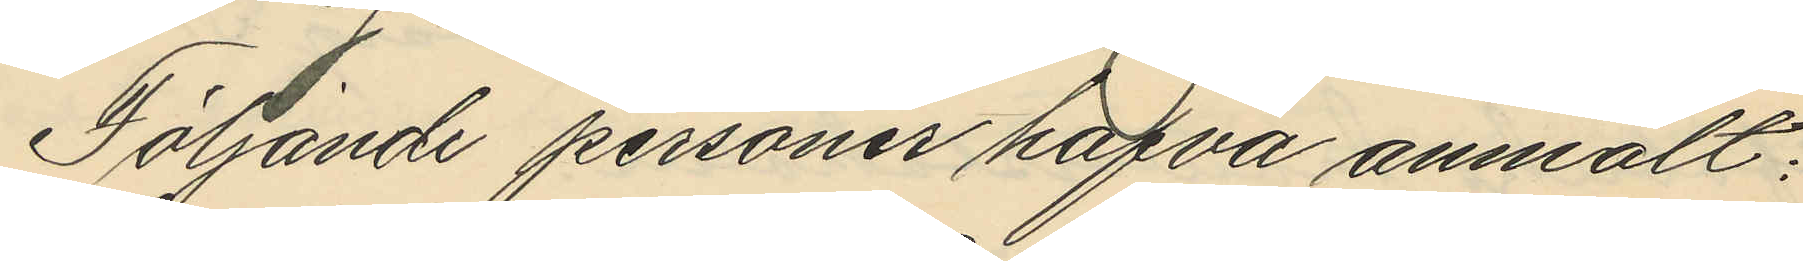Följande personer hafva anmält:
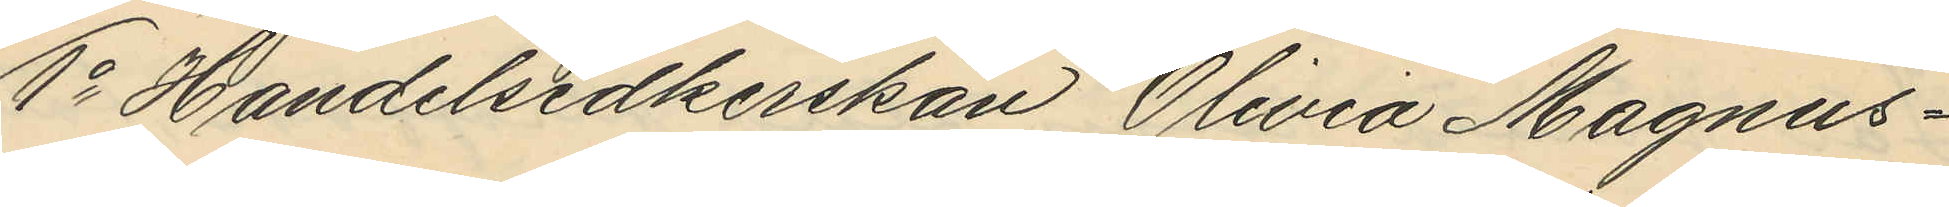1o Handelsidkerskan Olivia Magnus¬
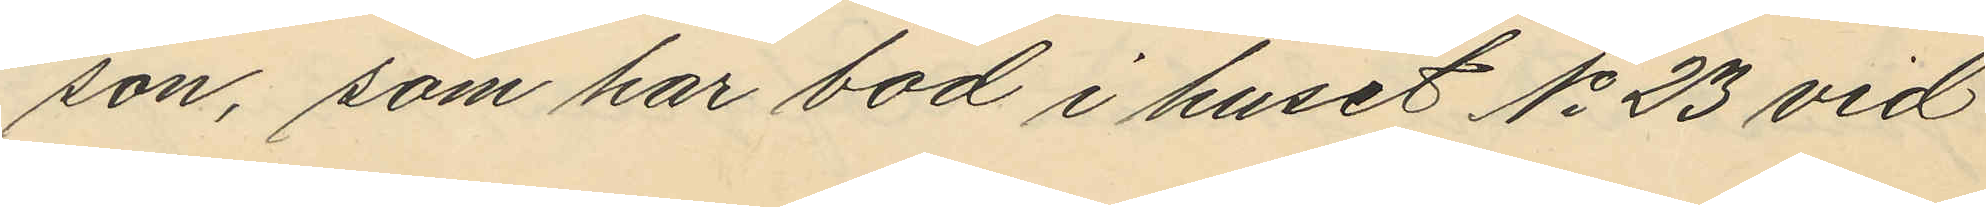son, som har bod i huset No 23 vid
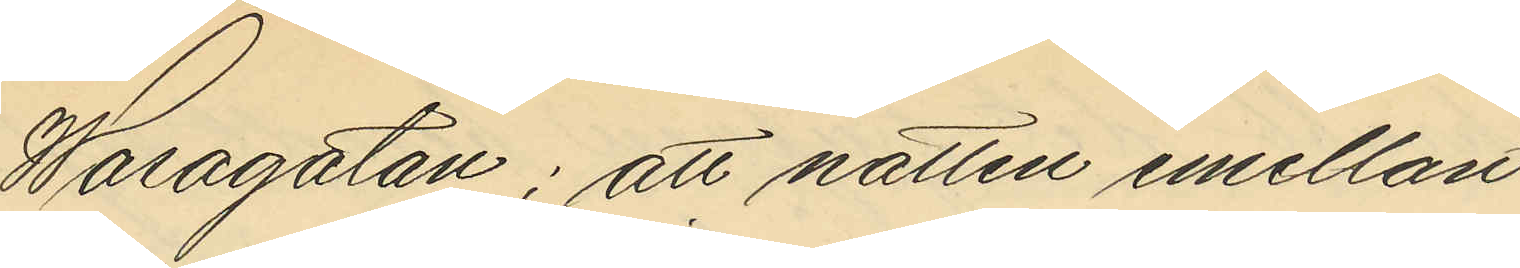Wasagatan; att natten emellan
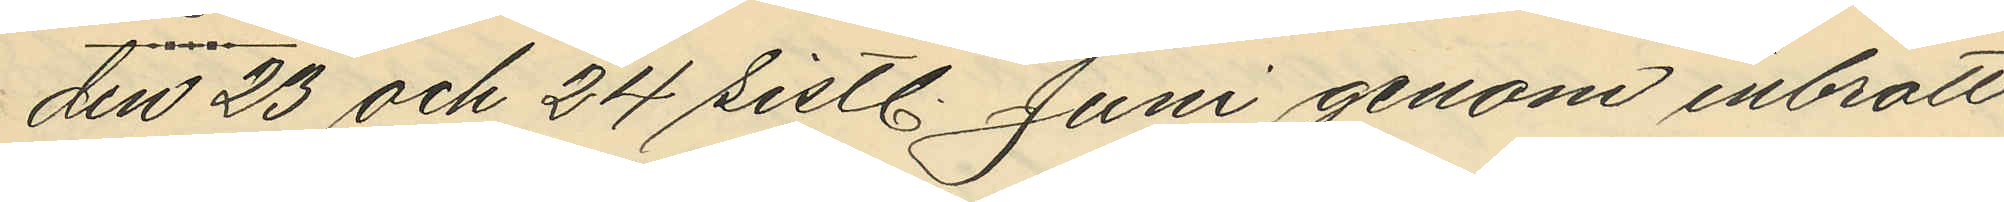den 23 och 24 sistl. Juni genom inbrott
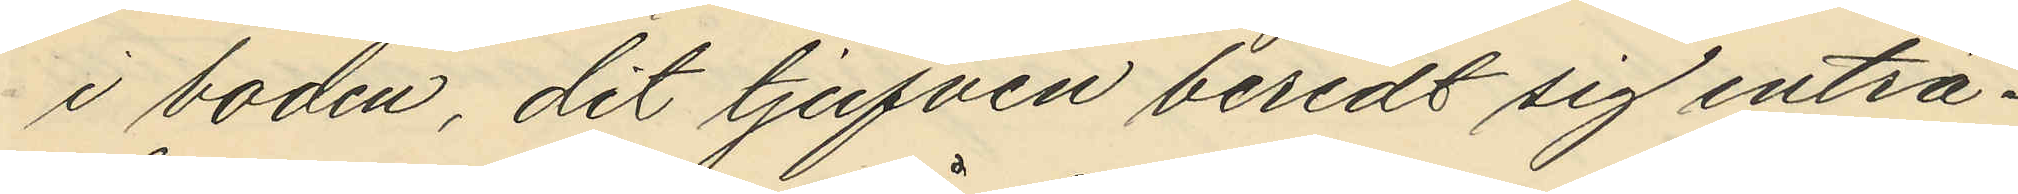i boden, dit tjufven beredt sig inträ¬
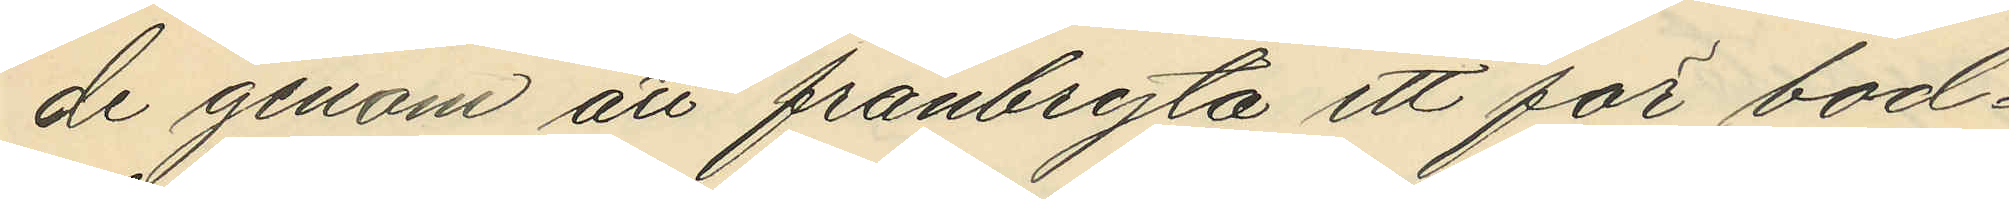de genom att frånbryta ett för bod¬
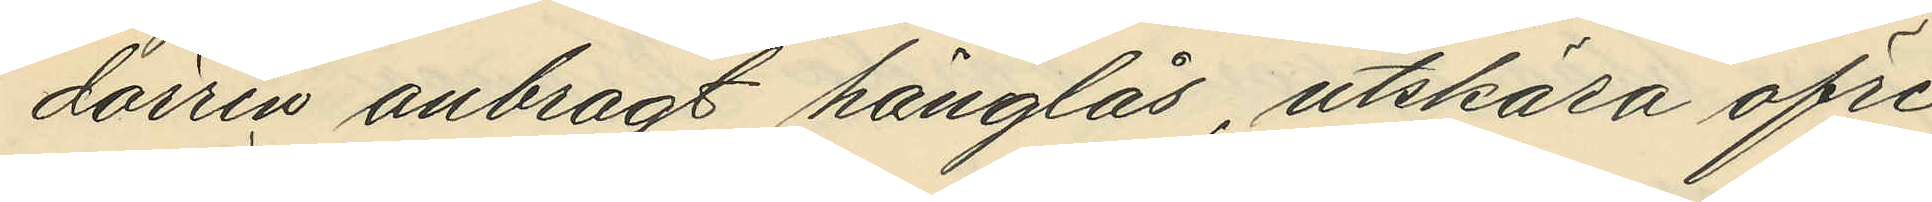dörren anbragt hänglås, utskära öfre
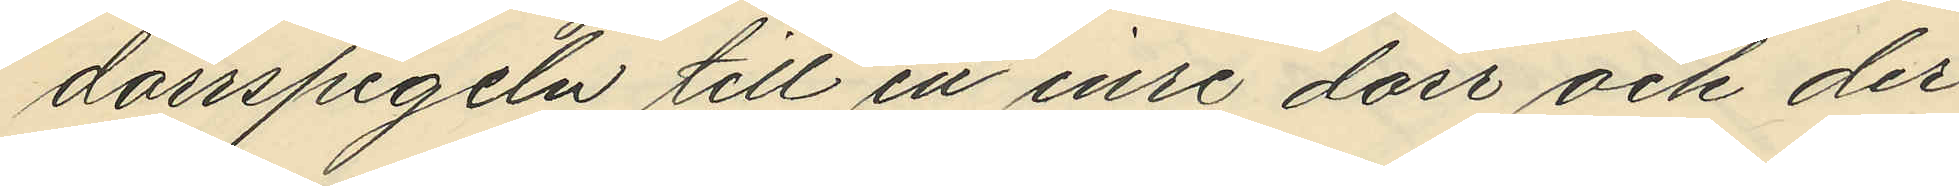dörrspegeln till en inre dörr och der¬
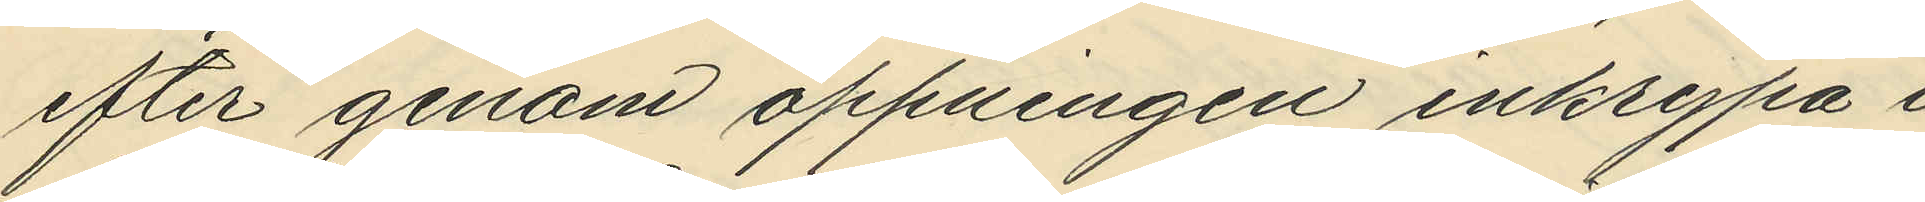efter genom öppningen inkrypa i
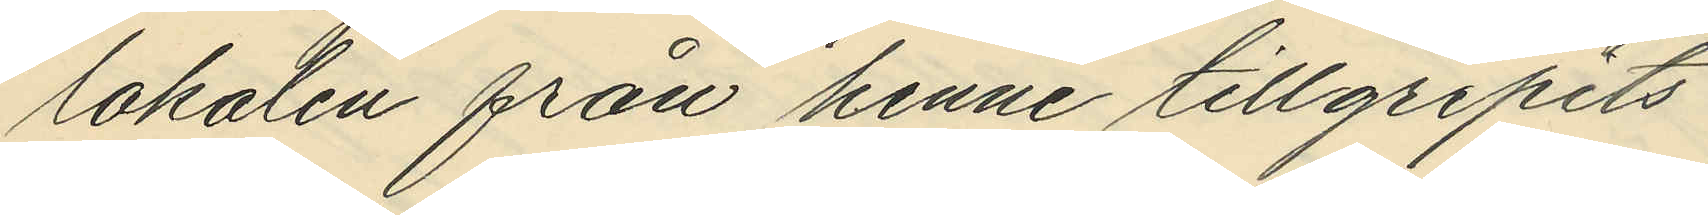lokalen från henne tillgripits
